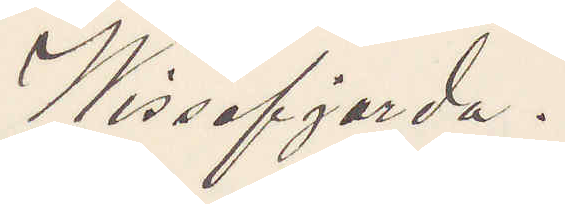Wissefjerda.
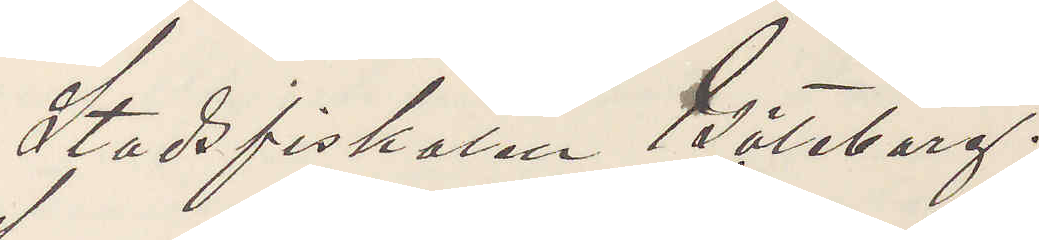Stadsfiskalen Göteborg.
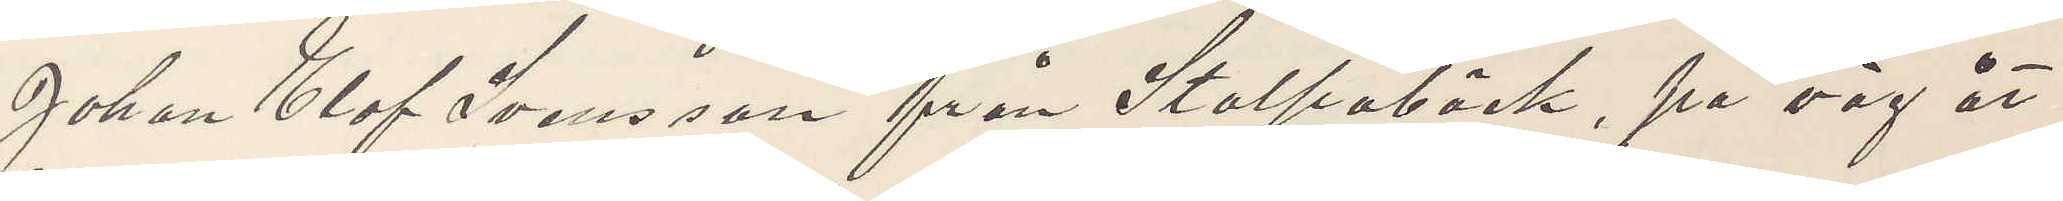Johan Olof Svensson från Stolpabäck, på väg åt
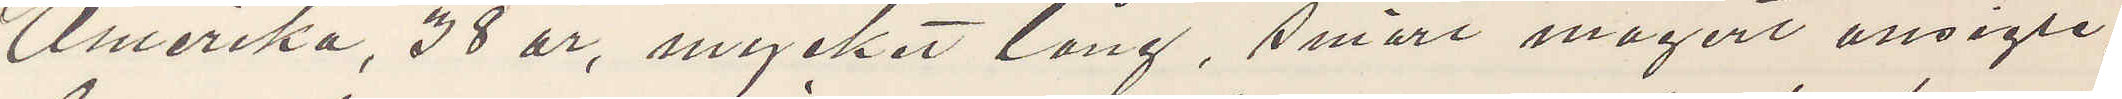Amerika, 38 år, mycket lång, smärt magert ansigte,
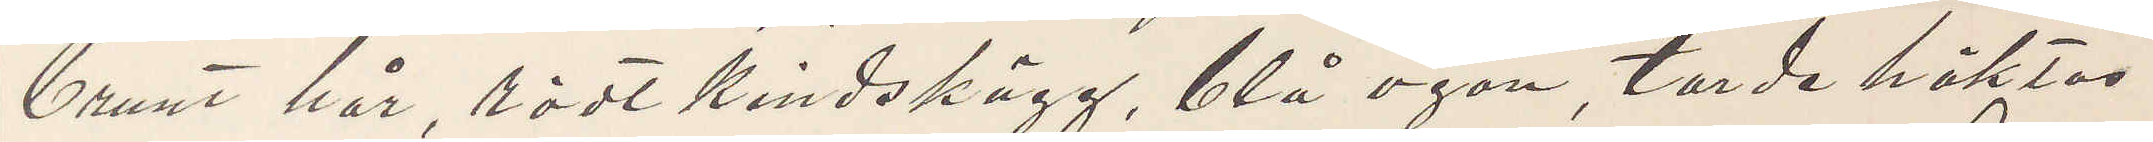brunt hår, rödt kindskägg, blå ögon, torde häktas
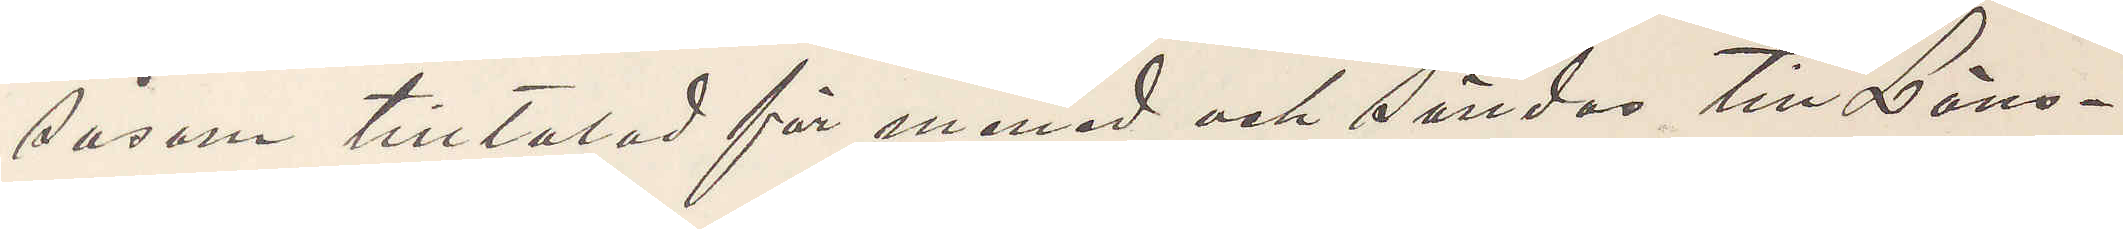såsom tilltalad för mened och sändas till Läns¬
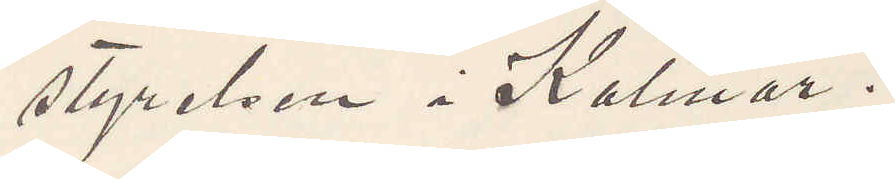styrelsen i Kalmar.
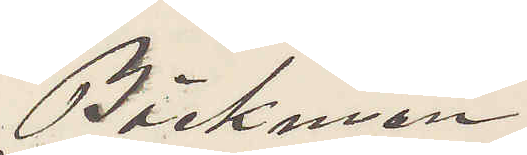Bäckman
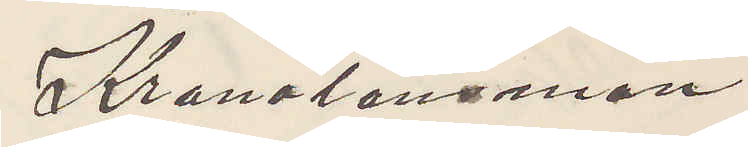Kronolänsman
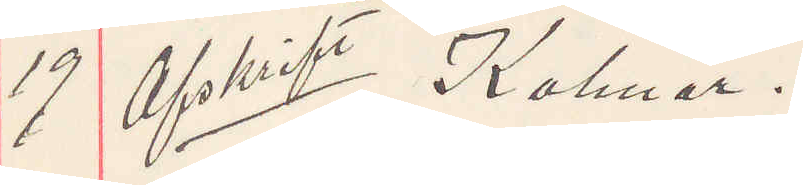19 Afskrift Kalmar.
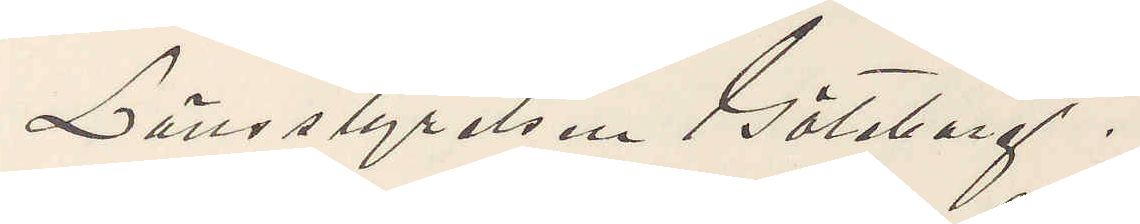Länsstyrelsen Göteborg.
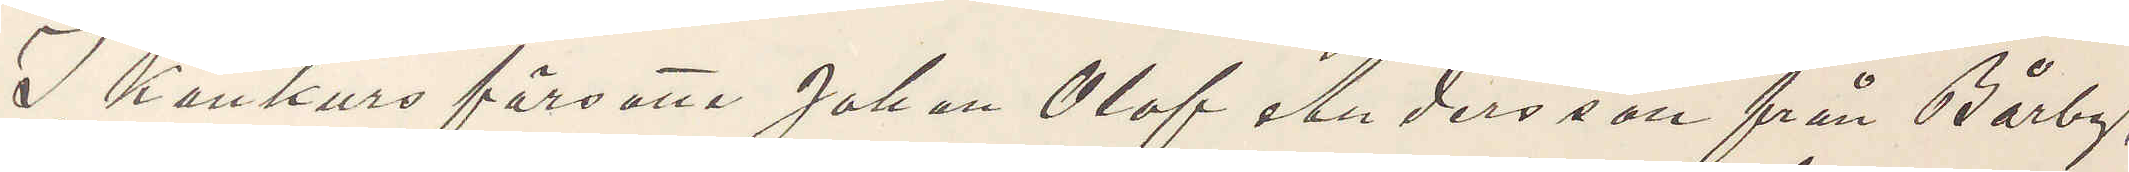I Konkurs försatta Johan Olof Andersson från Bårby,
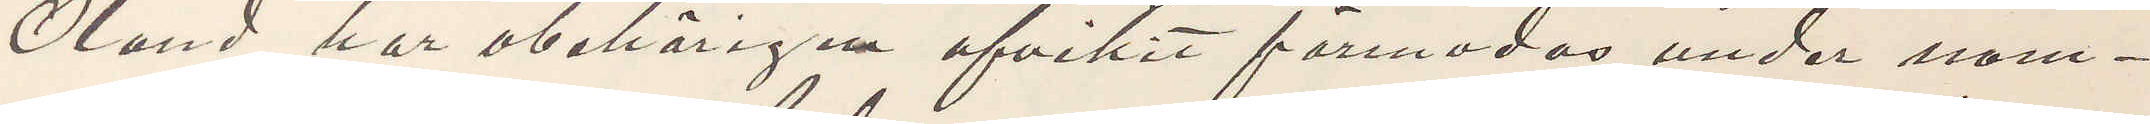Öland har obehörigen afvikit förmodas under nam¬
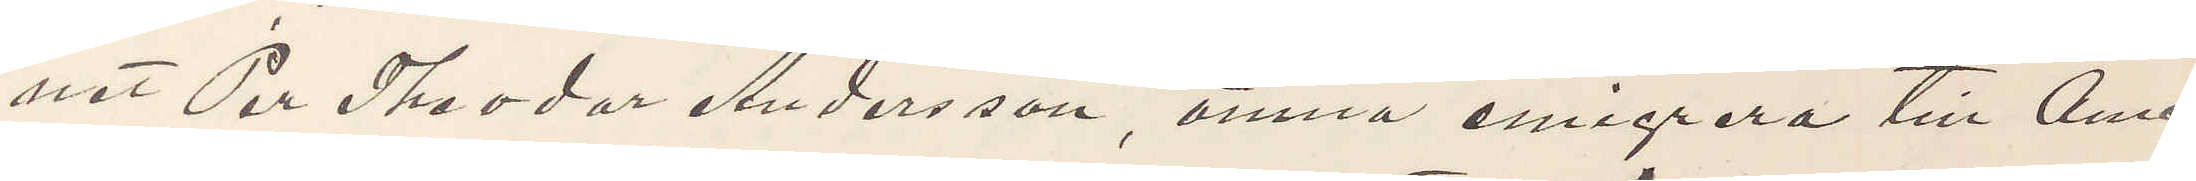net Per Theodor Andersson, ämna emigrera till Ame¬
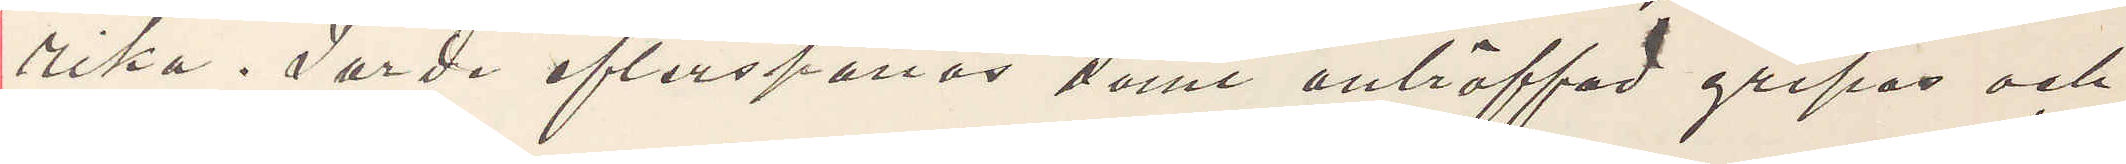rika. Torde efterspanas samt anträffad gripas och
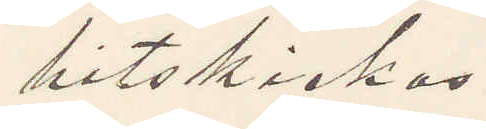hitskickas.
